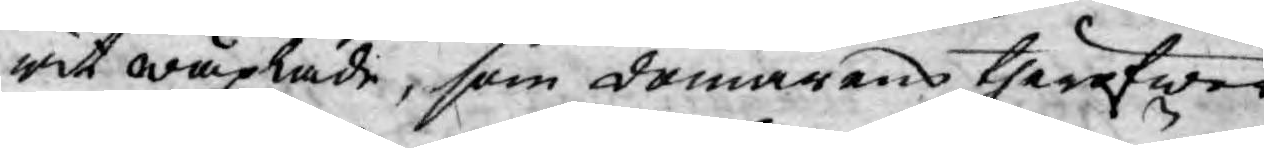wit wäxlade, som domarens theröfwer
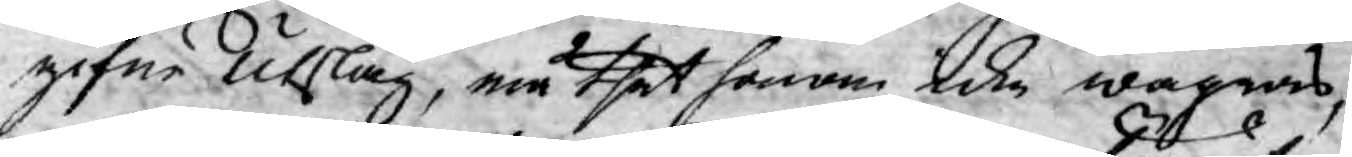gifne Utslag, må thet honom icke wägras,
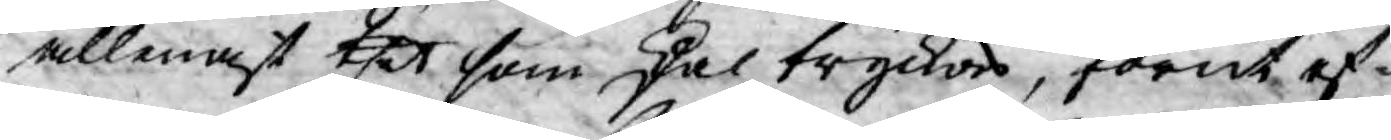allenast thet som skal tryckas, förut ef¬
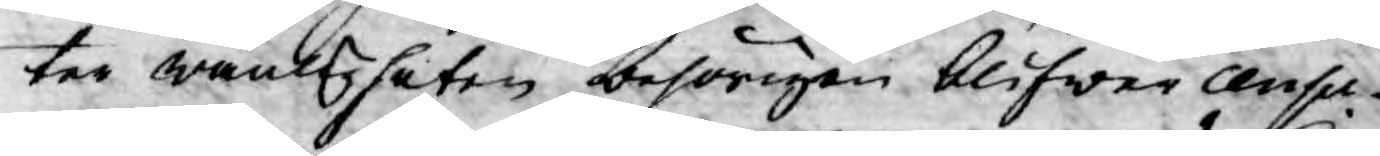ter wanligheten behörigen blifwer censu¬
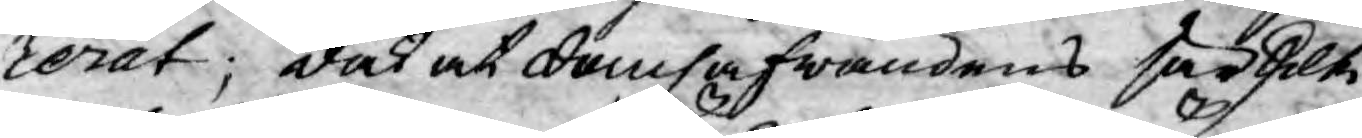rerat; dock at domhafwandens särskilte
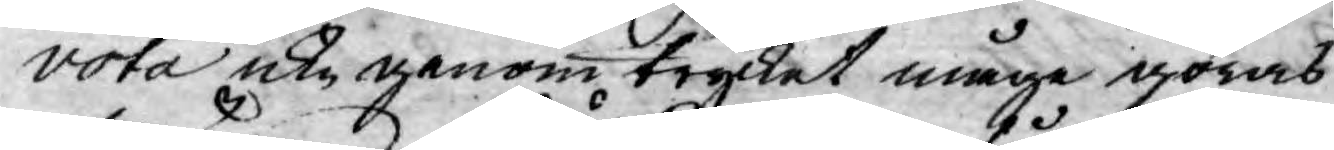vota icke genom trycket måge göras
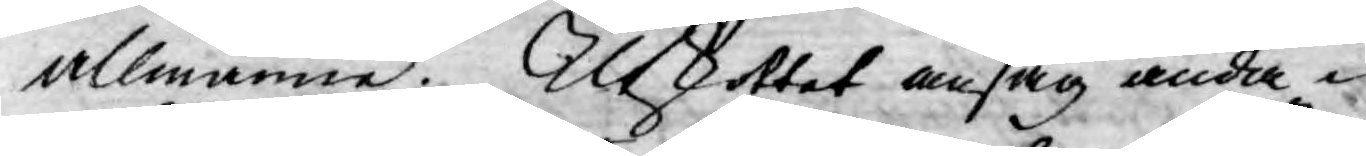allmänne. Utskottet ansåg ända¬
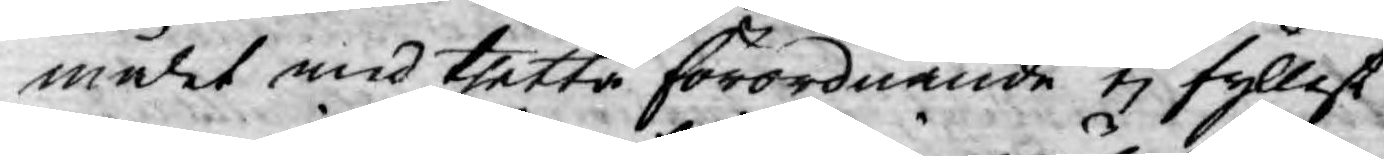målet med thetta förordnande ej fyllest
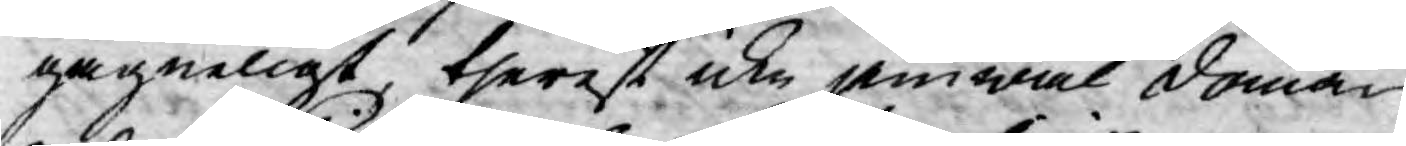gagneligt, therest icke jemwäl doma¬
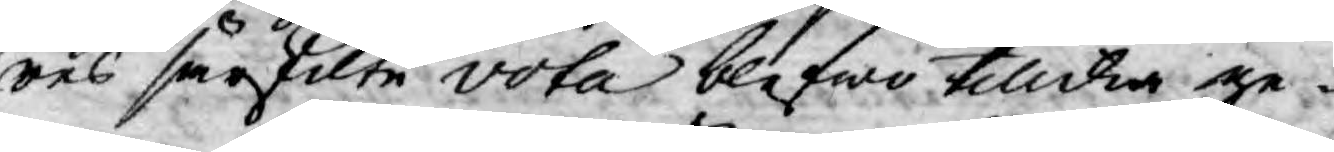res särskilte vota blefwo tillika ge¬
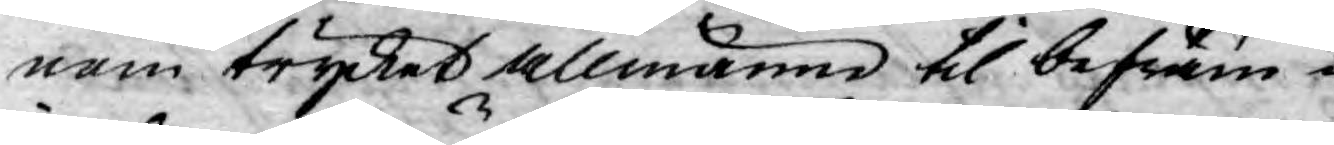nom trycket allmänne til befräm¬
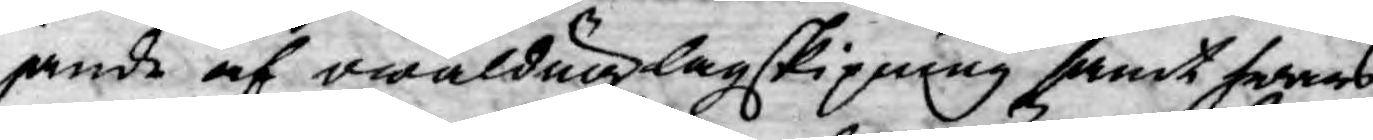jande af owäldug lagskipning samt hwars
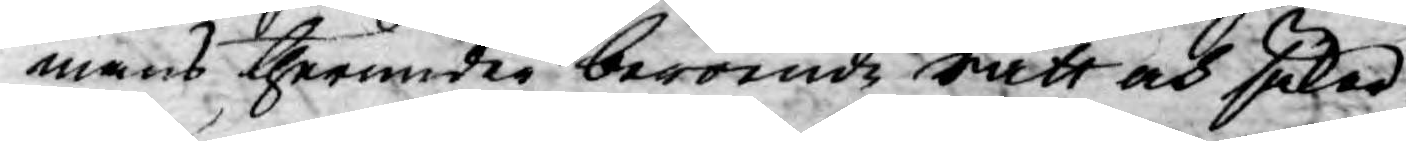mans therunder beroende rätt och säker¬
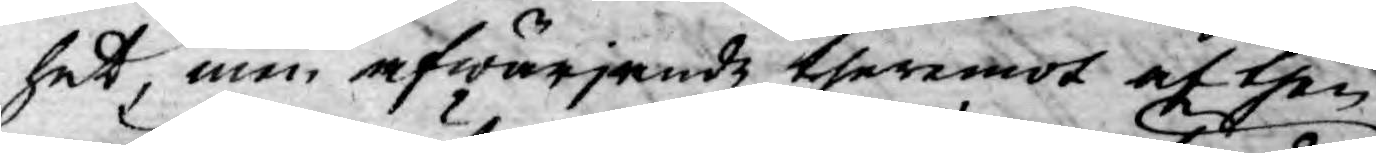het, men afwärjande theremot af then
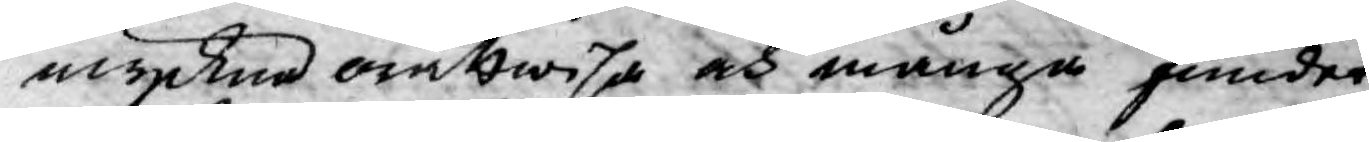myckna orättwisa och många fiender
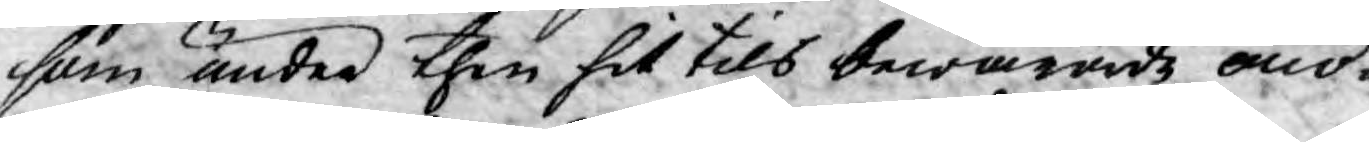som under then hit tils bewarade onö¬
